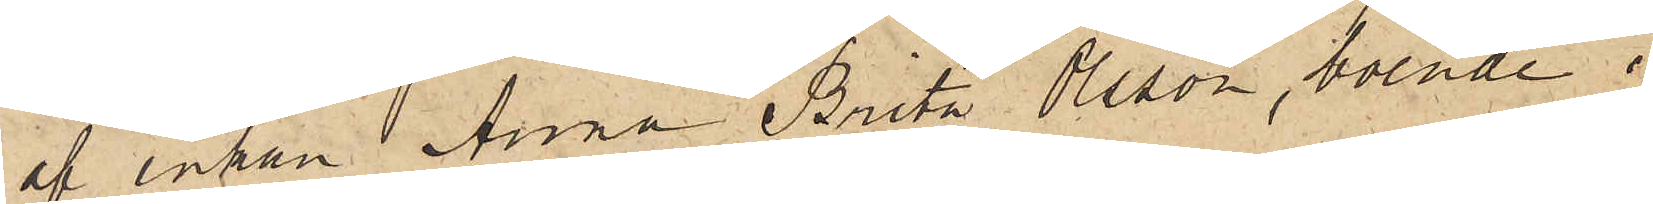af enkan Anna Brita Olsson, boende i
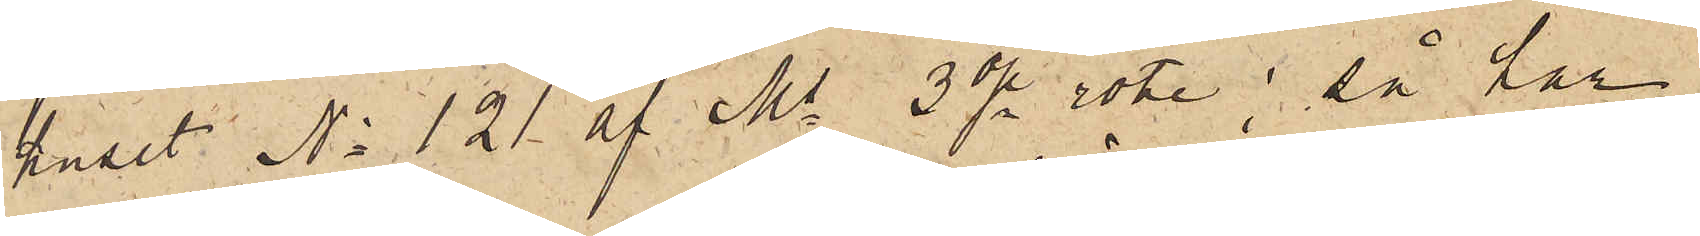huset No 121 af Ms 3dje rote; så har
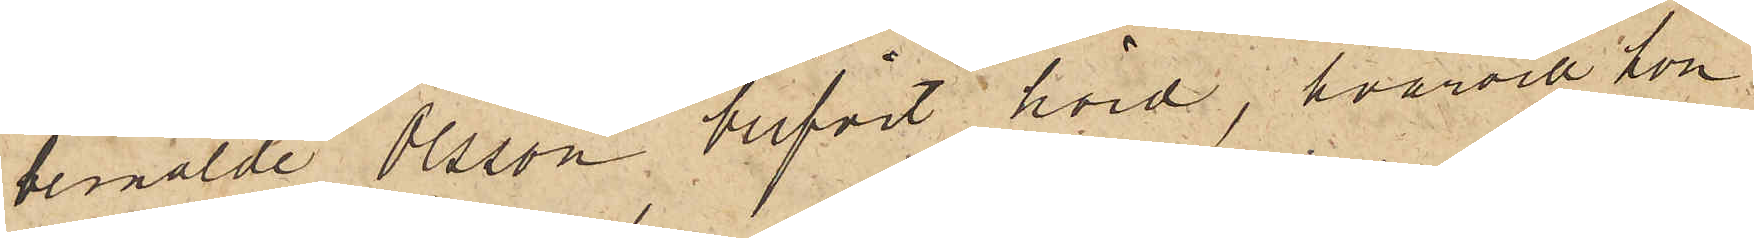bemälde Olsson blifvit hörd, hvarvid hon
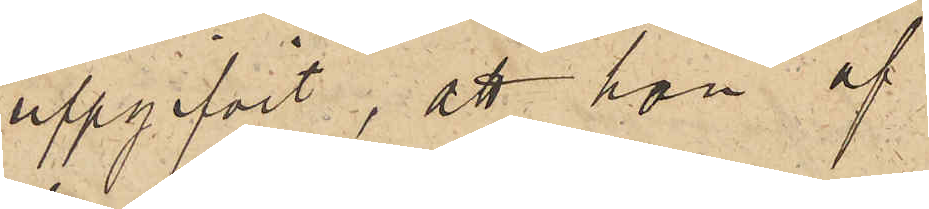uppgifvit, att hon af
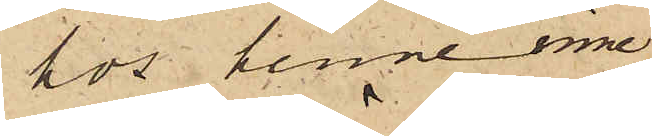hos henne inne¬
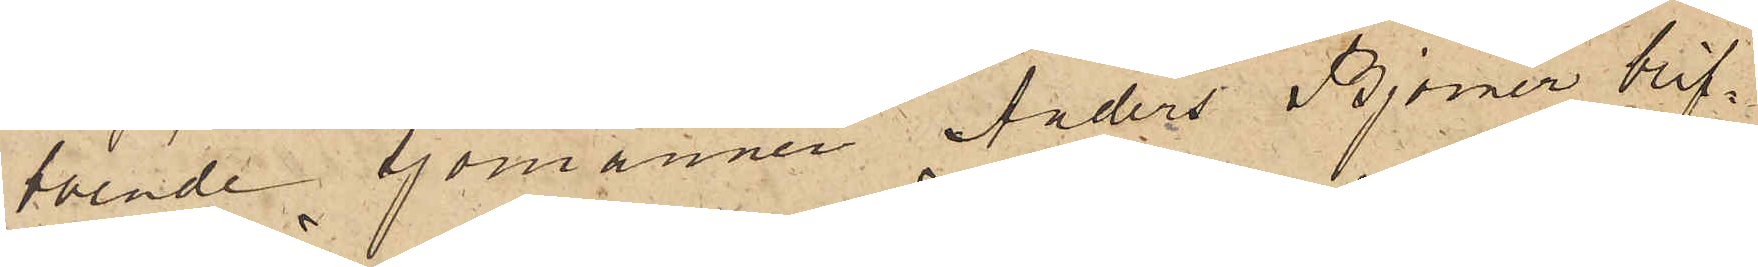boende sjömannen Anders Björner blif¬
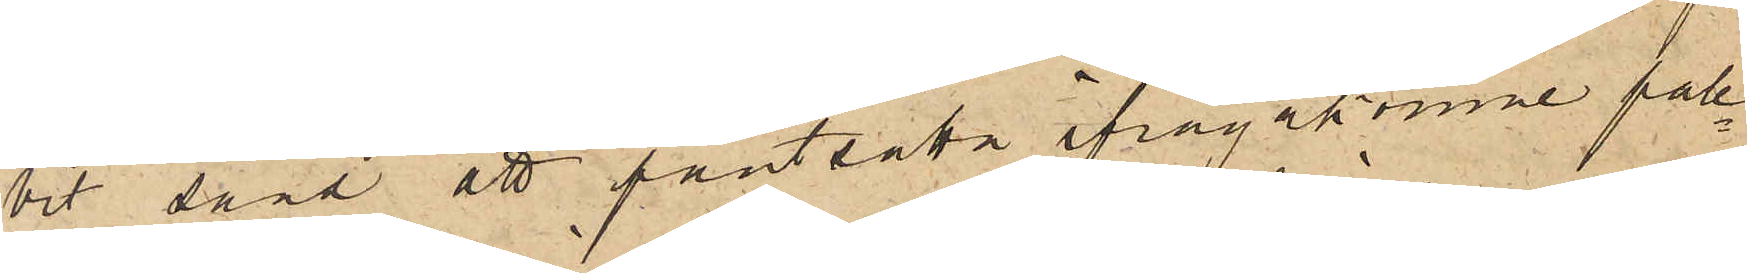vit sänd att pantsätta ifrågakomne pale¬
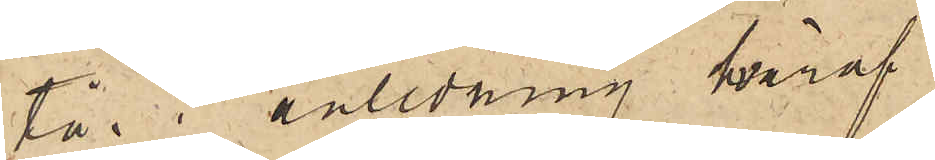tå i anledning hvaraf
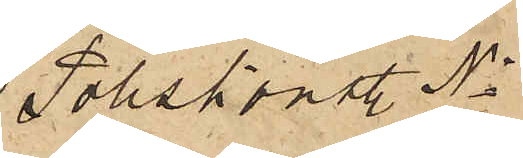Poliskonstl No
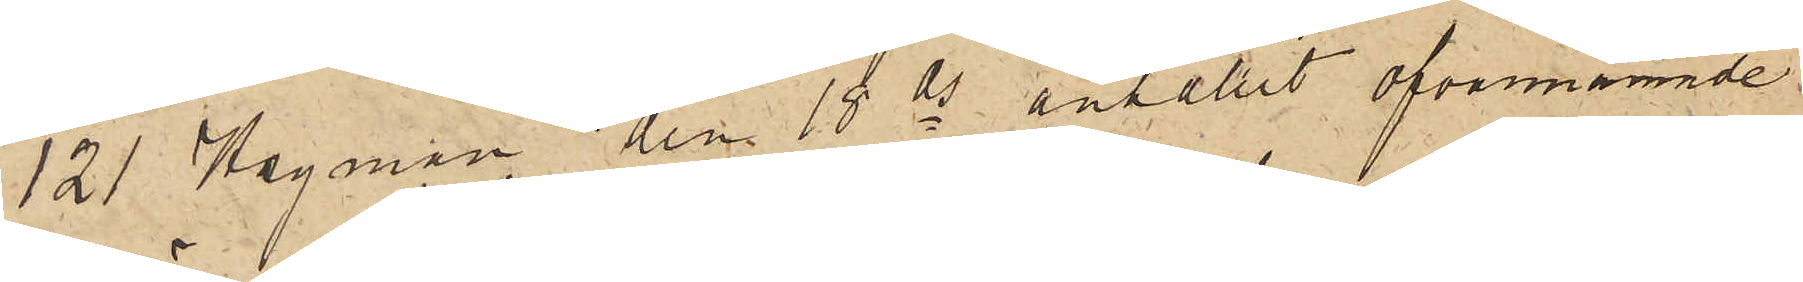121 Hagman den 18 ds anhållit ofvannämnde
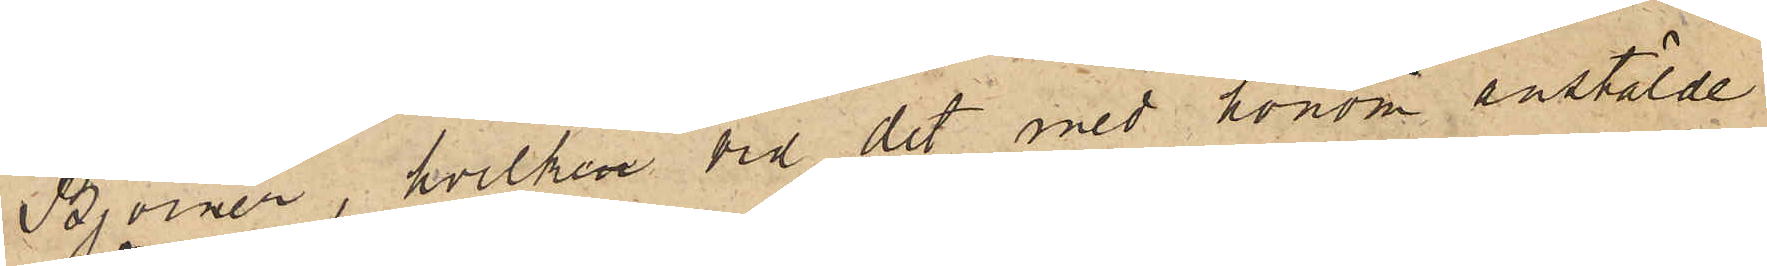Björner, hvilken vid det med honom anstälde
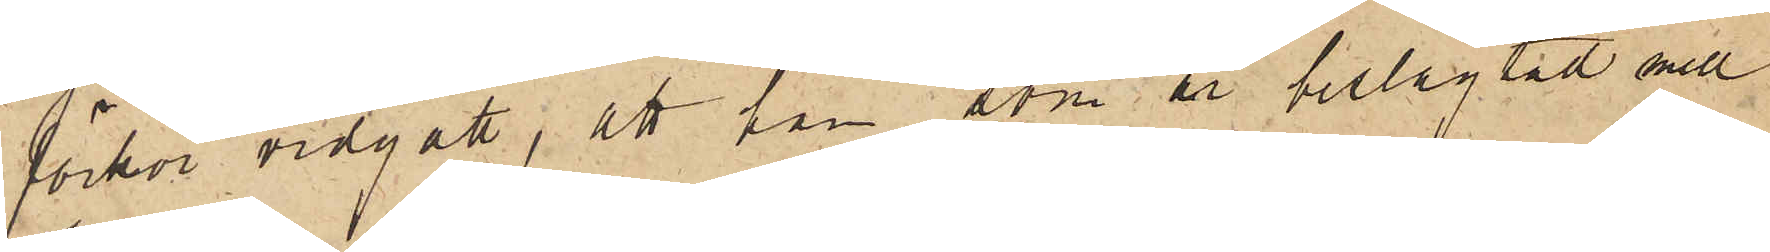förhör vidgått, att han, som är beslägtad med
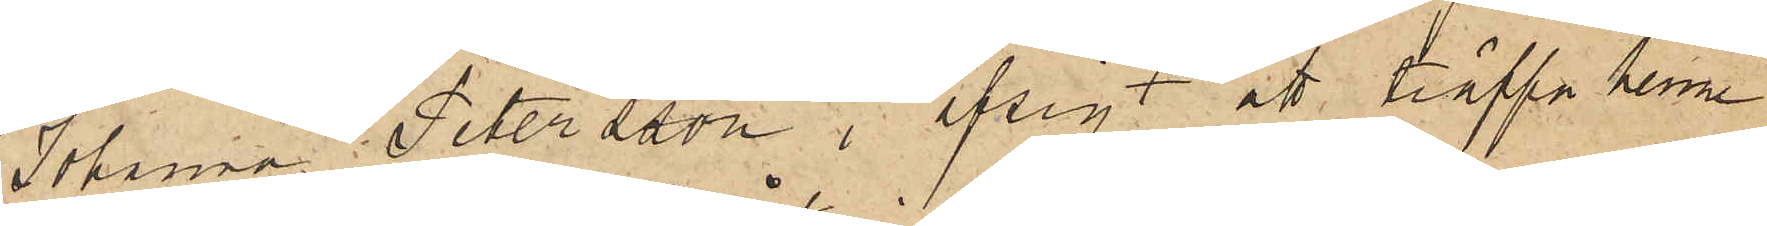Johanna Petersson i afsigt att träffa henne
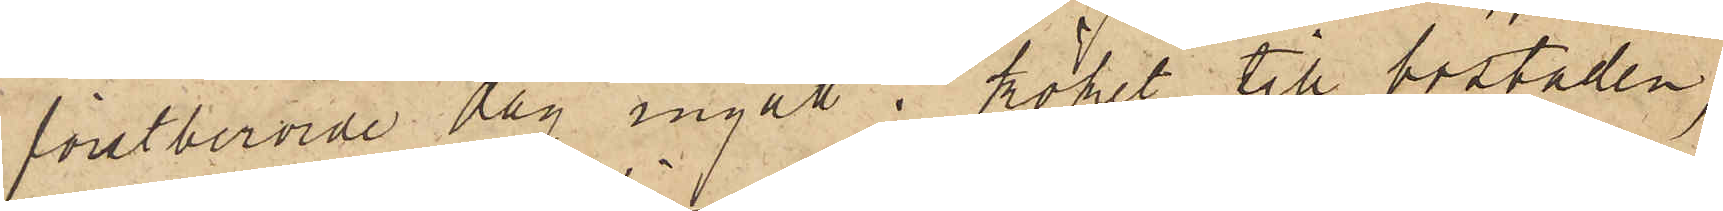förstberörde dag ingått i köket till bostaden;
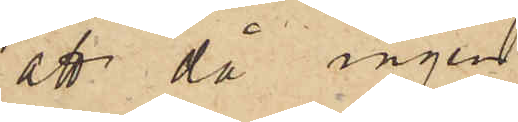att då ingen
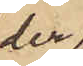der
